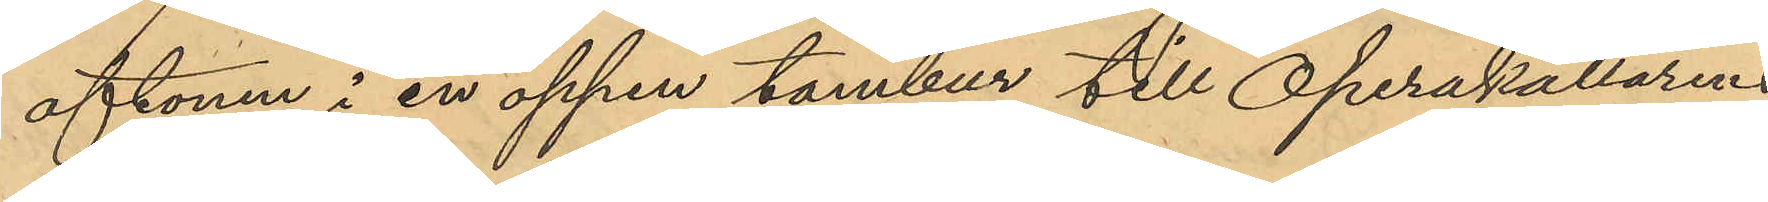aftonen i en öppen tambur till Operakällarens
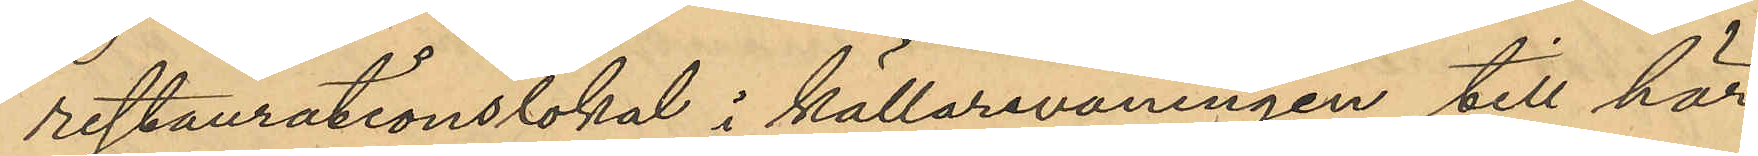restaurationslokal i källarvåningen till här¬
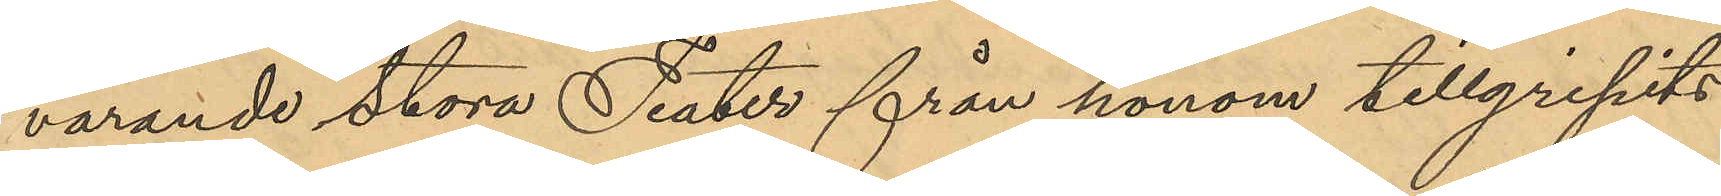varande Stora Teater från honom tillgripits
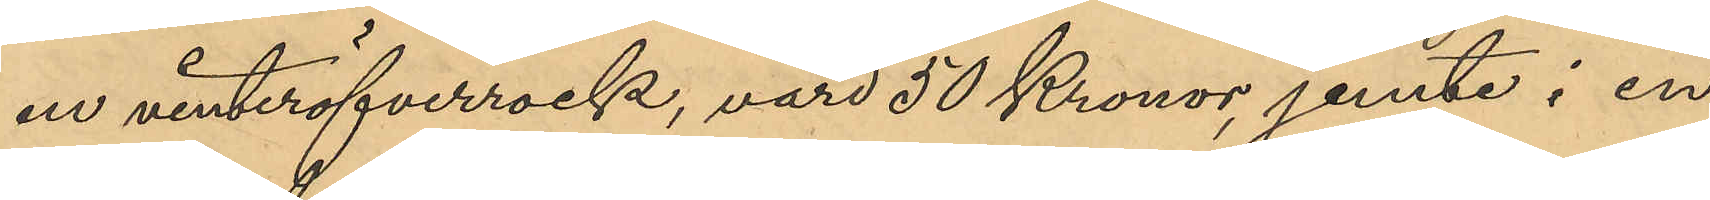en vinteröfverrock, värd 50 Kronor, jemte i en
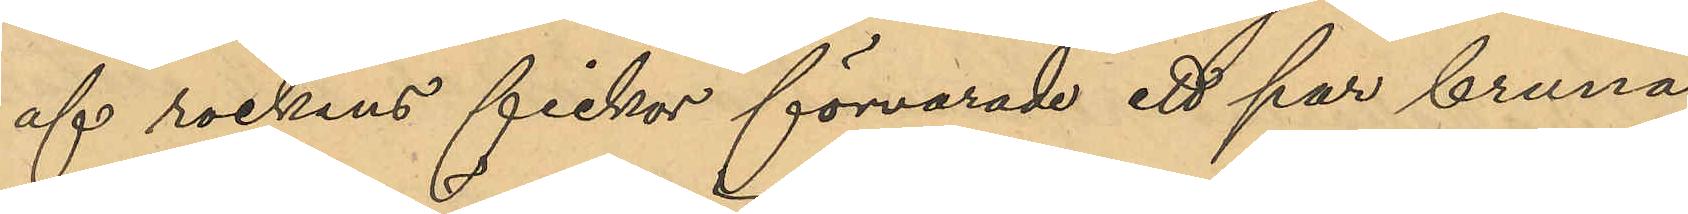af rockens fickor förvarade ett par bruna
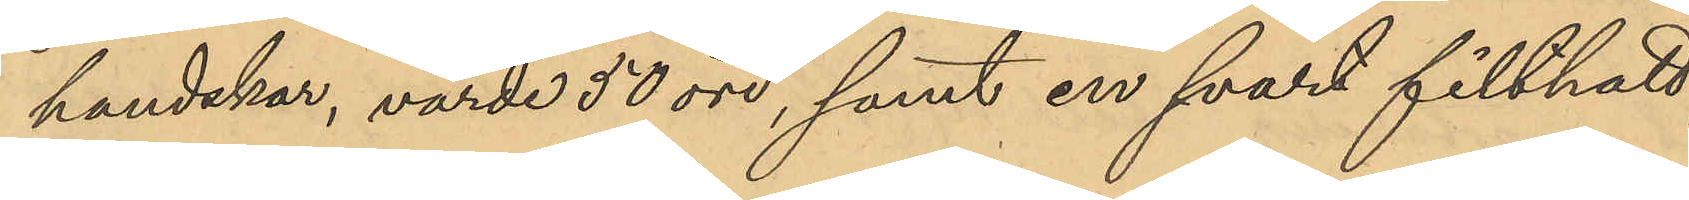handskar, värde 50 öre, samt en svart filthatt,
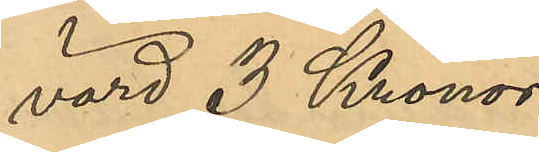värd 3 Kronor.
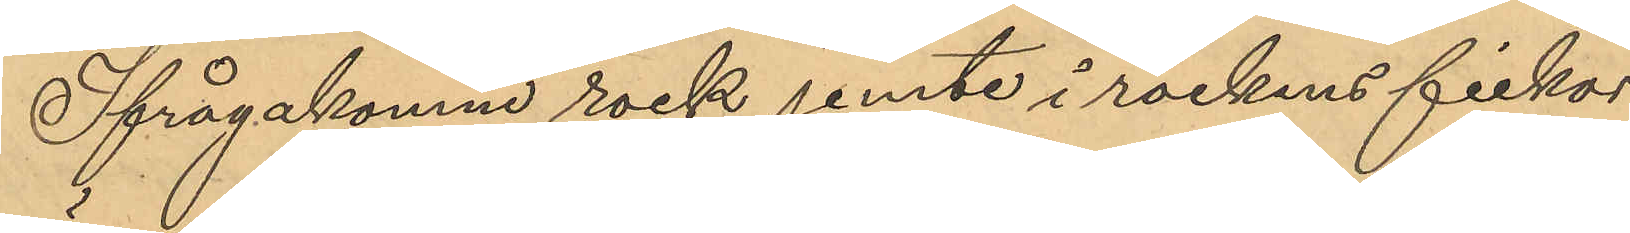Ifrågakomne rock jemte i rockens fickor
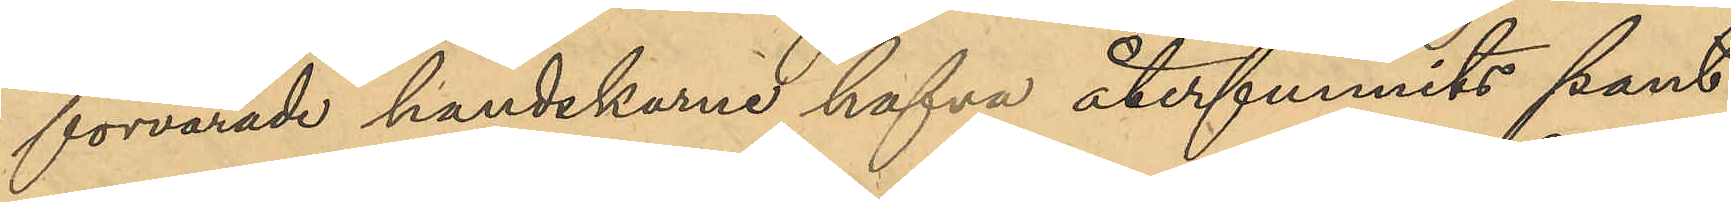förvarade handskarna hafva återfunnits pant¬
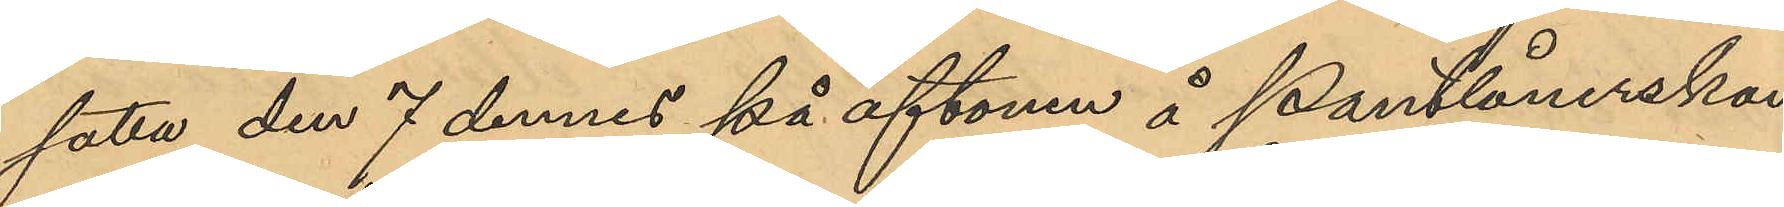satta den 7 dennes på aftonen i Pantlånerskan
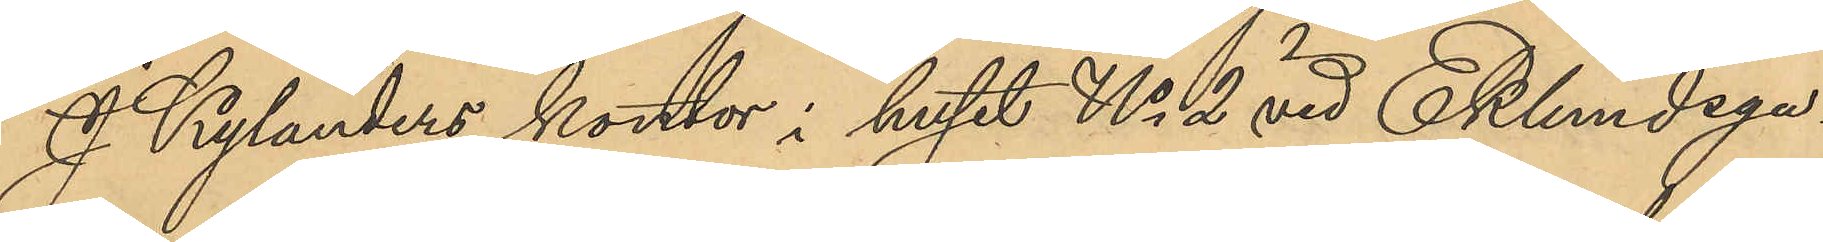J. Kylanders kontor i huset No 2 vid Eklundsga¬
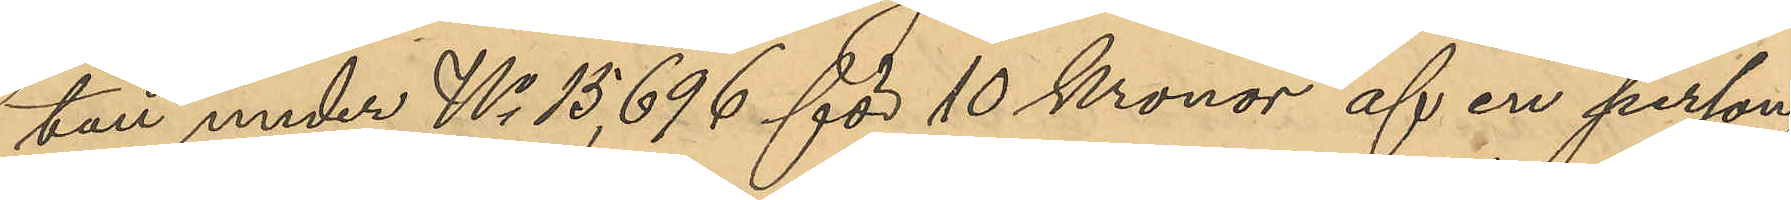tan under No 15,696 för 10 Kronor af en person
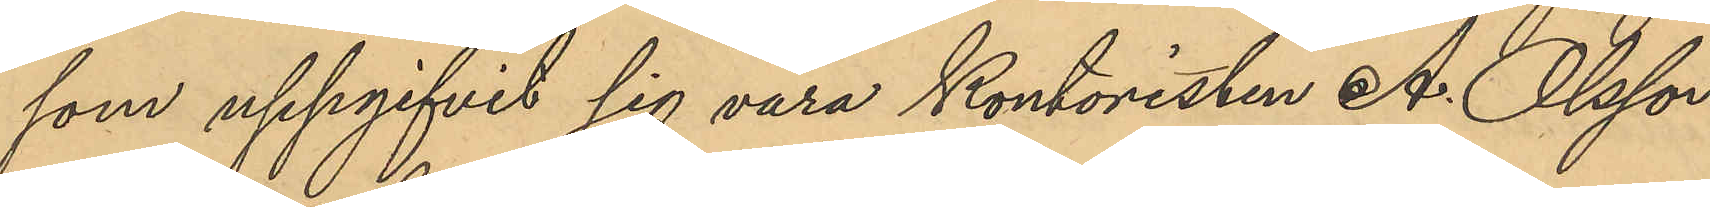som uppgifvit sig vara Kontoristen A. Olsson,
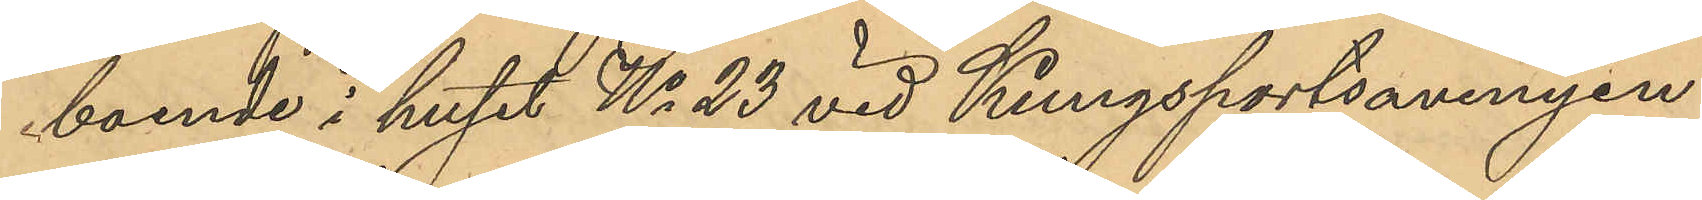boende i huset No 23 vid Kungsportsavenyn.
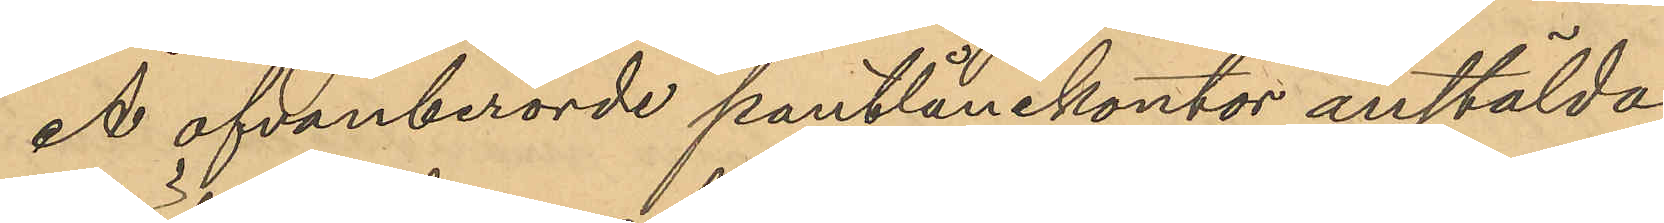Å ofvanberörde pantlånekontor anstälda
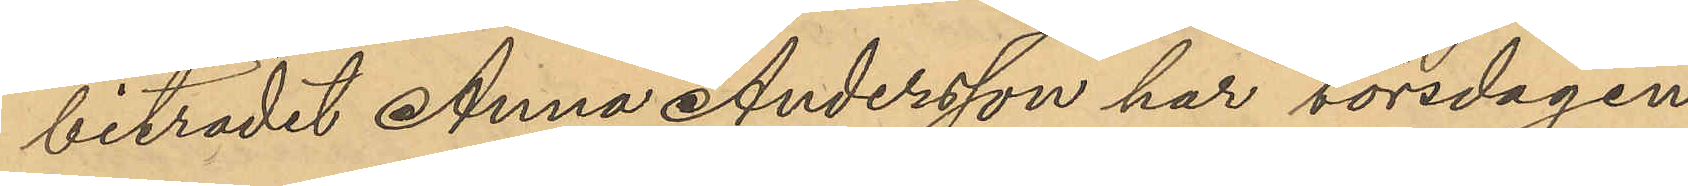biträdet Anna Andersson har torsdagen
